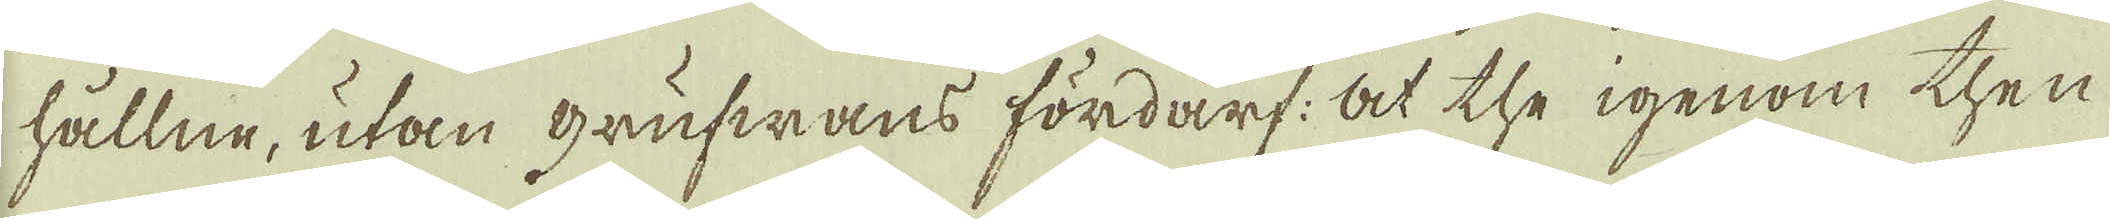hållne, utan grufwans fördärf: At the igenom then
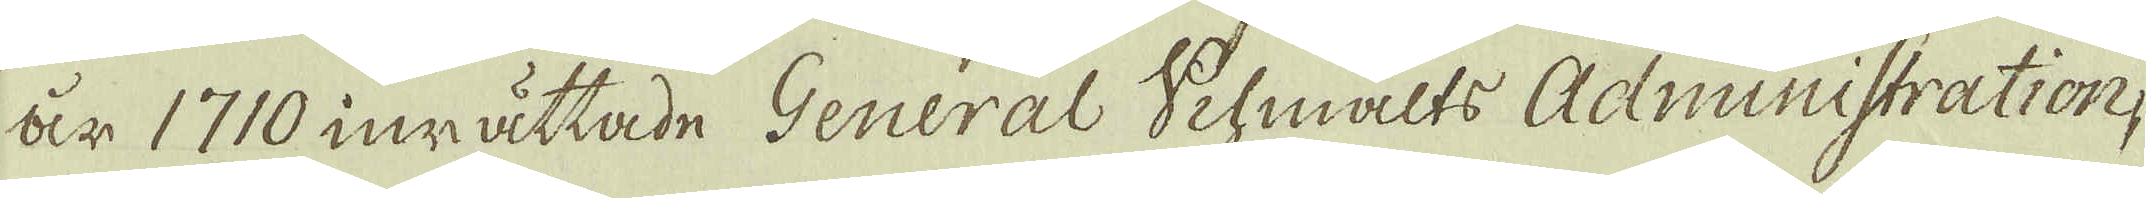år 1710 inrättade General Schmälts Administration,
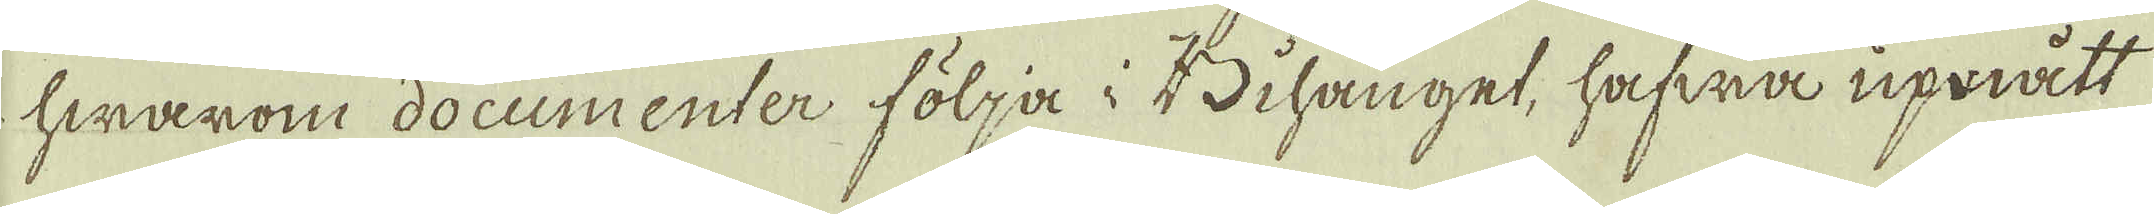hwarom documenter följa i Bihanget, hafwa upmått
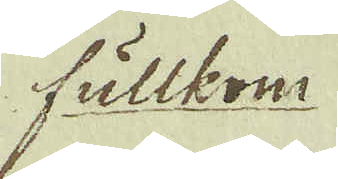fullkom
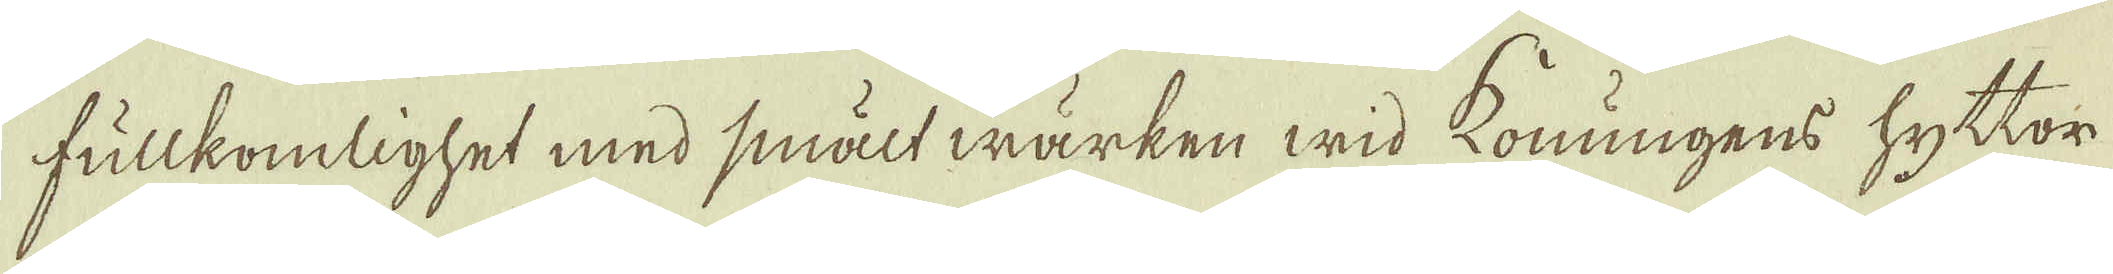fullkomlighet med smältwärken wid konungens hyttor
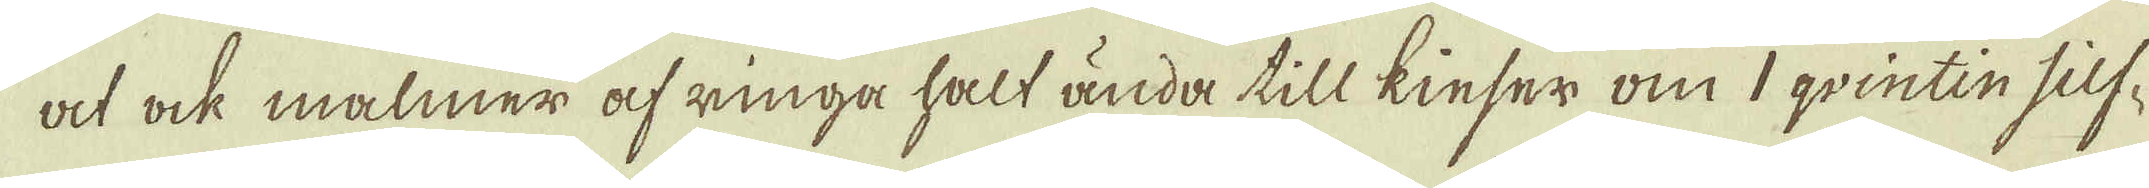at ock malmer af ringa halt ända till kinser om 1 qvintin silf-
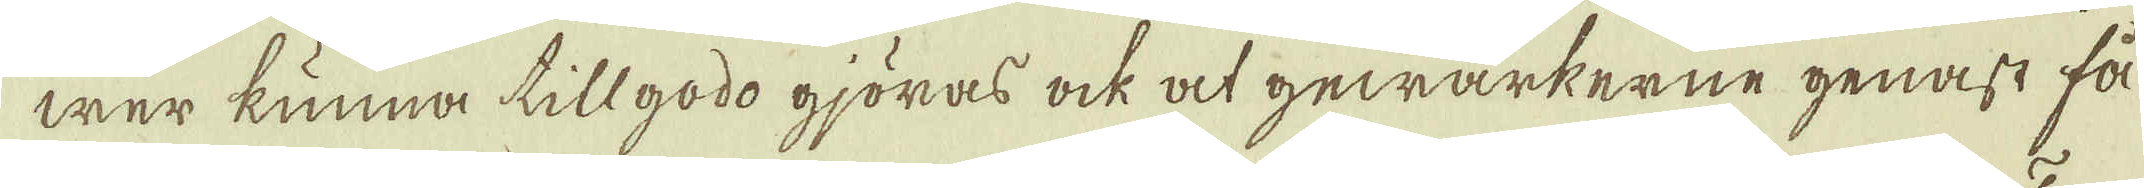wer kunna tillgodo gjöras ock at gewärkerne genast få
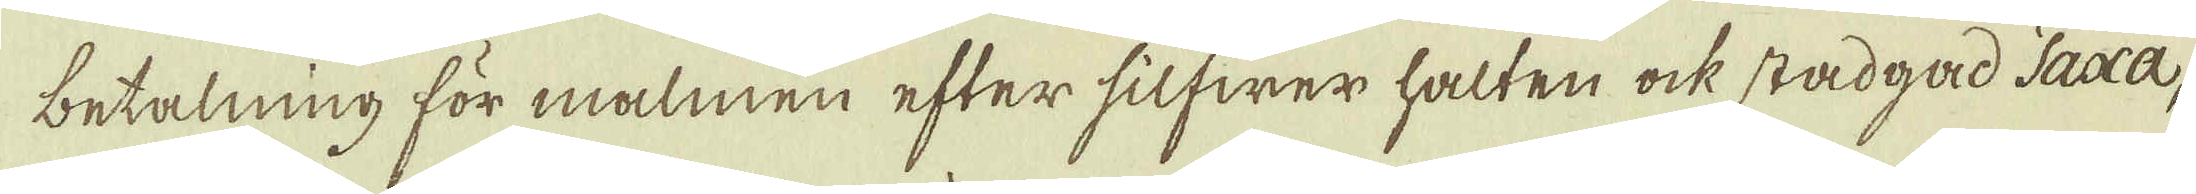betalning för malmen efter silfwer halten ock stadgad Taxa,
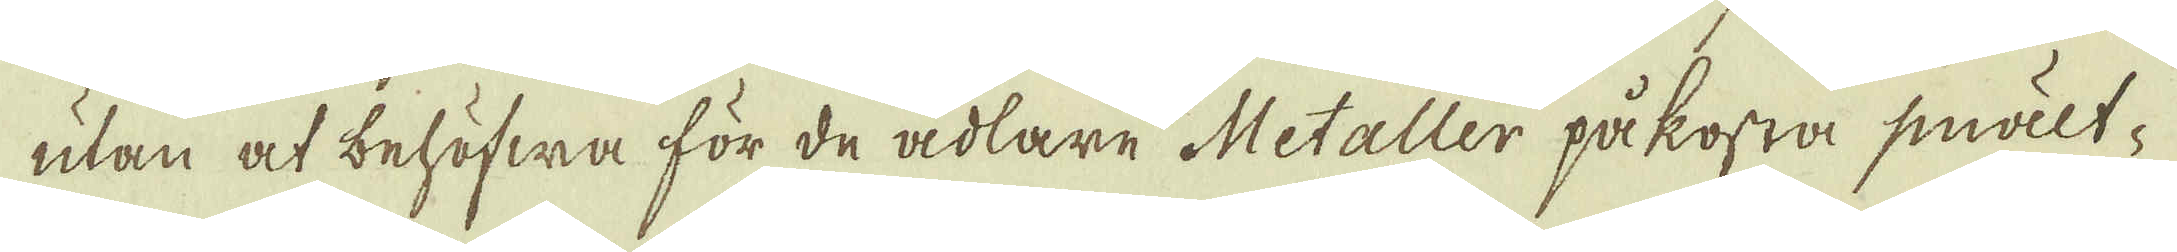utan at behöfwa för de ädlare Metaller påkosta smält-
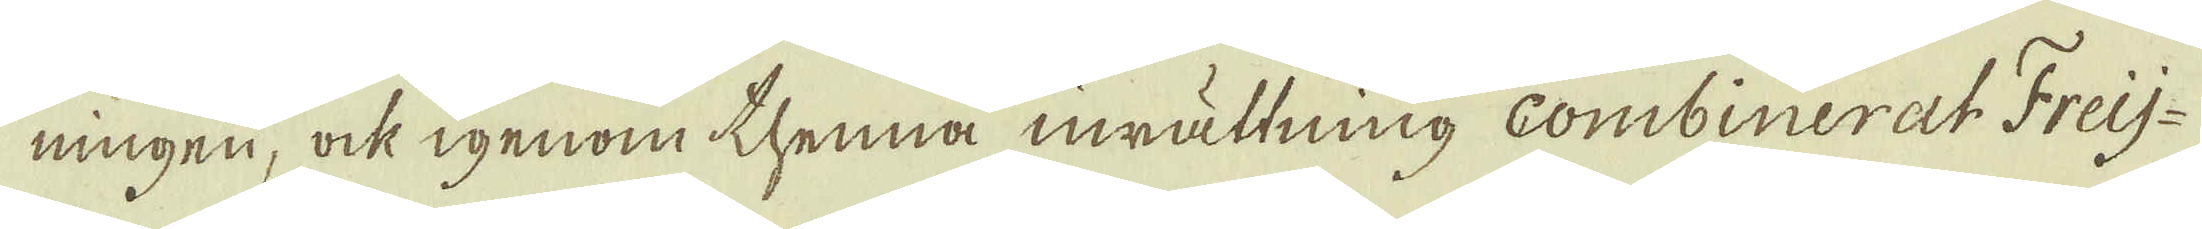ningen, ock igenom thenna inrättning Combinerat Freij-
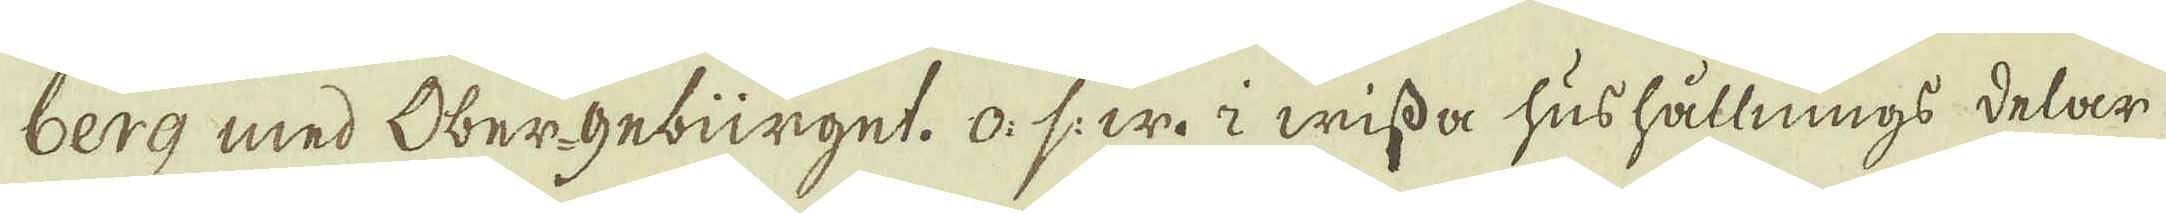berg med Ober-gebürget. o: s: w: i wissa hushållnings delar
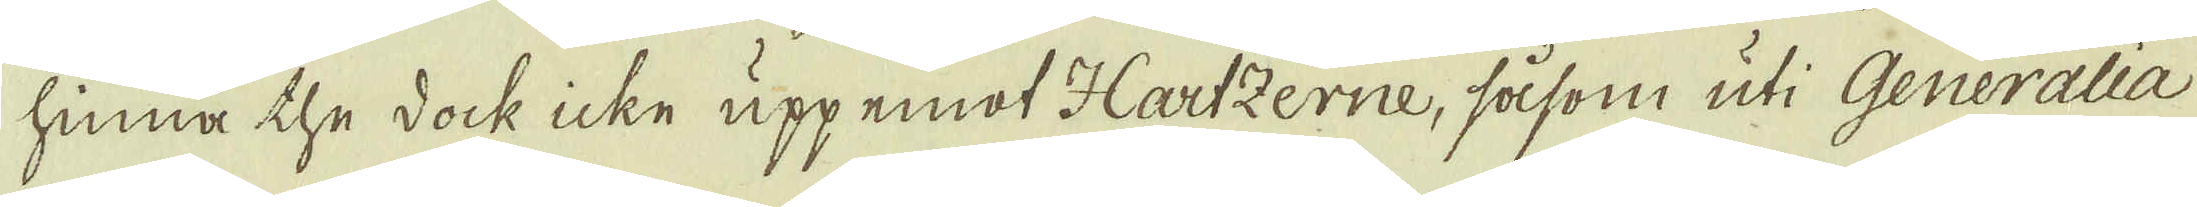hinna the dock icke upp emot Hartzerne, såsom uti Generalia
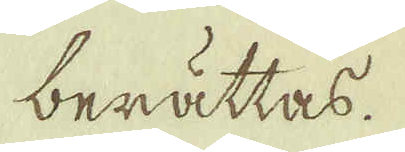berättas.
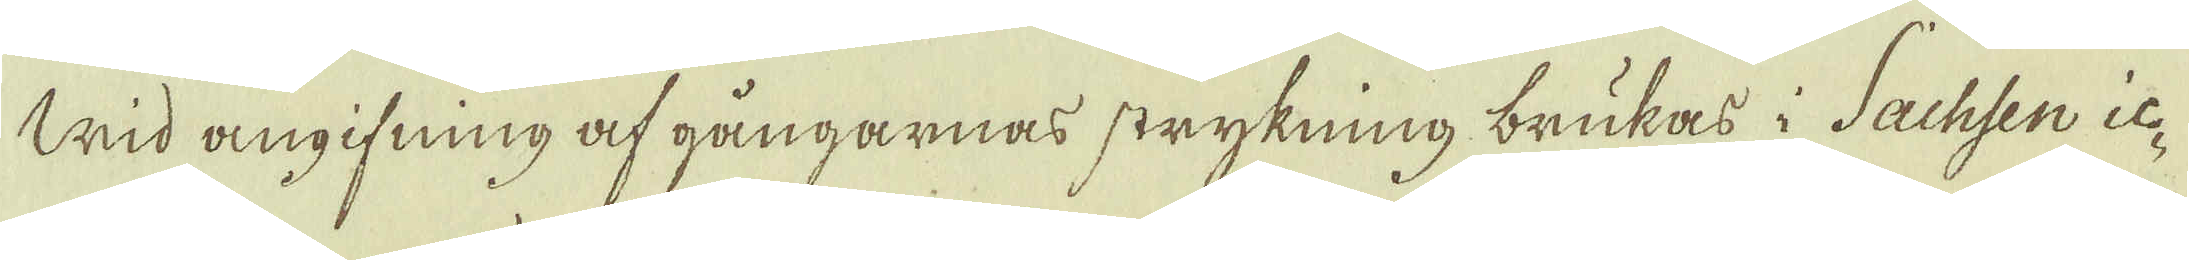Wid angifning af gångarnas strykning brukas i Sachsen ic-
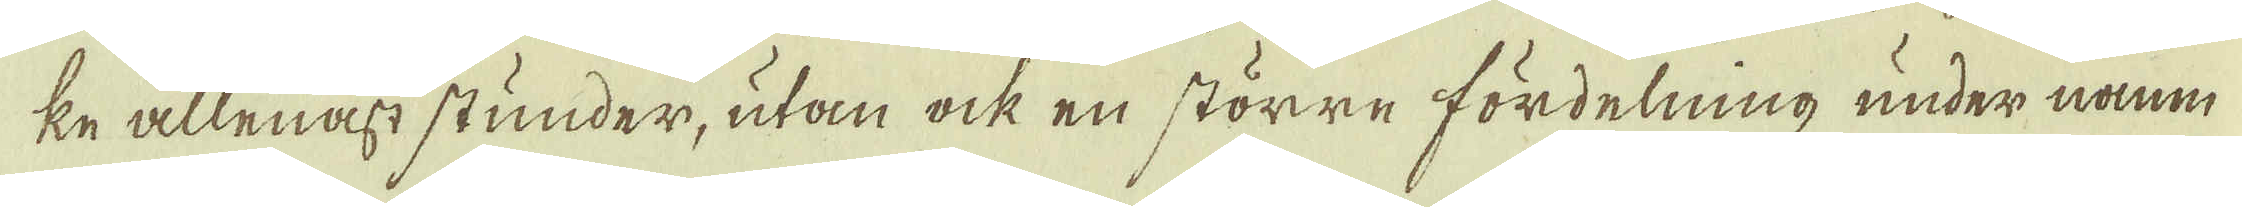ke allenast stunder, utan ock en större fördelning under namn
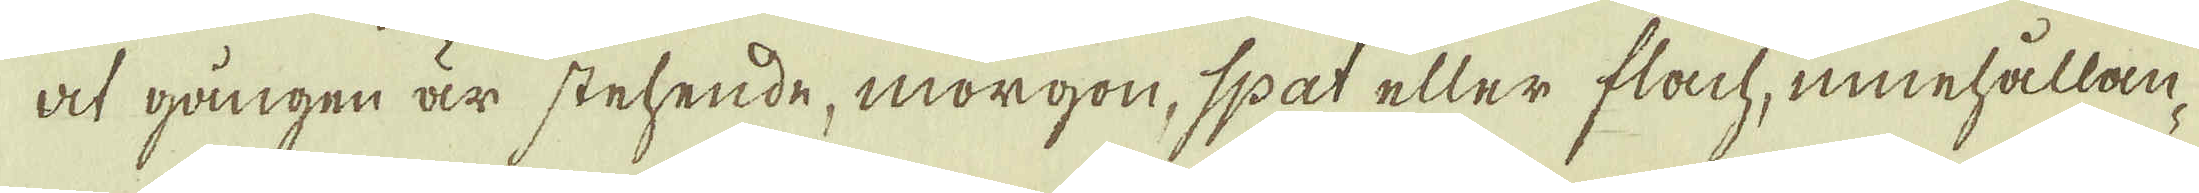at gången är stehende, morgon, spat eller flach, innehållan-
